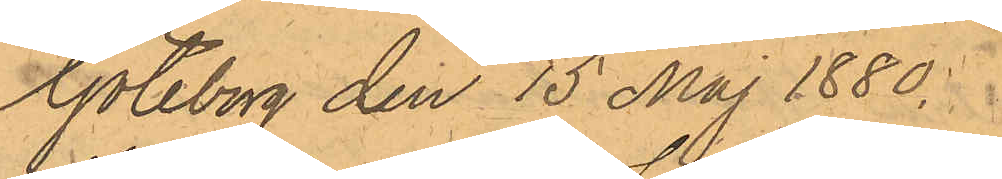Göteborg den 15 Maj 1880.
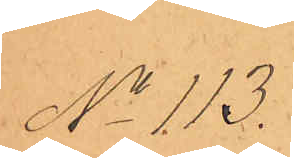No 113.
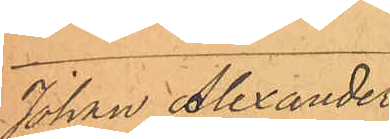Johan Alexander
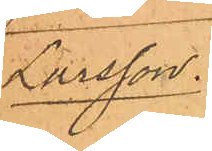Larsson.
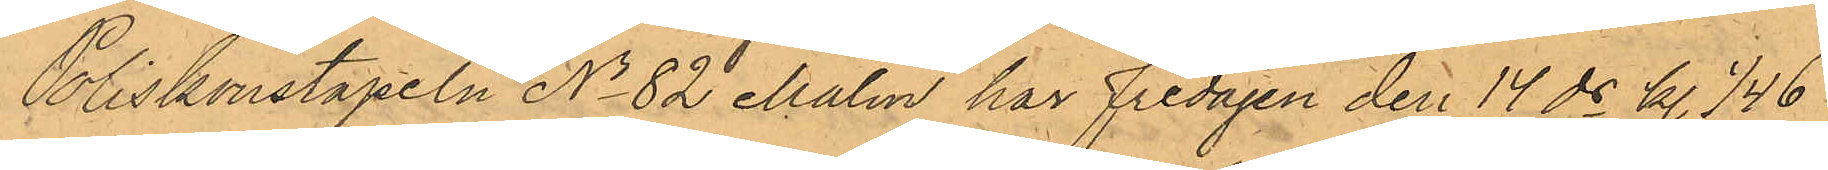Poliskonstapeln No 82 Malm har Fredagen den 14 ds kl. 1/4 6
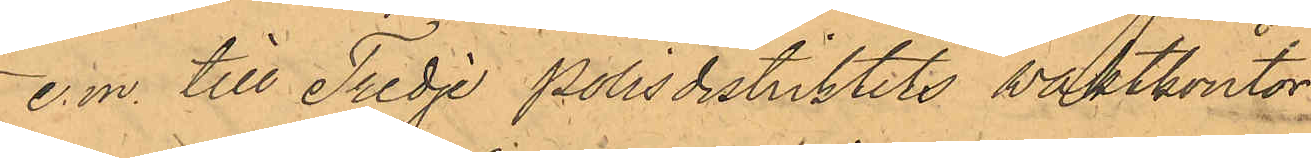e.m. till Tredje Polisdistriktets waktkontor
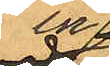in¬
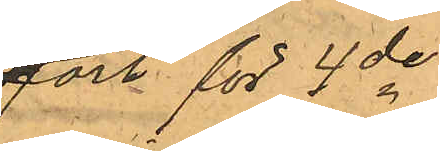fört för 4de
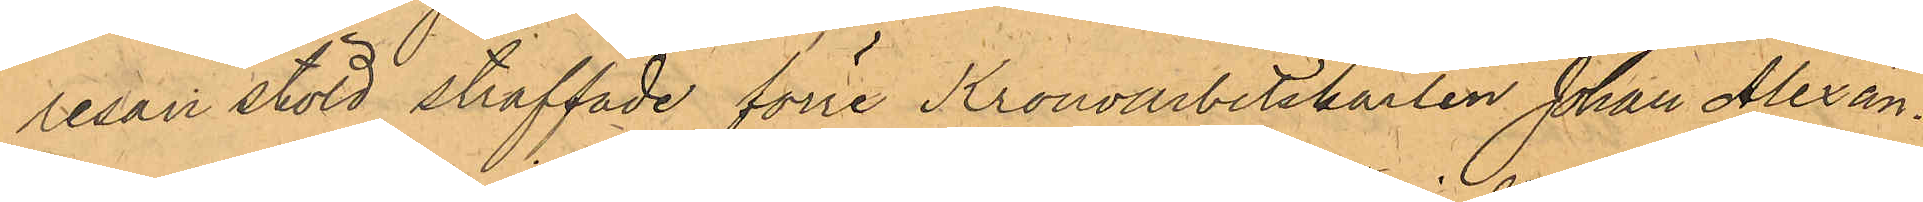resan stöld straffade förre Kronoarbetskarlen Johan Alexan¬
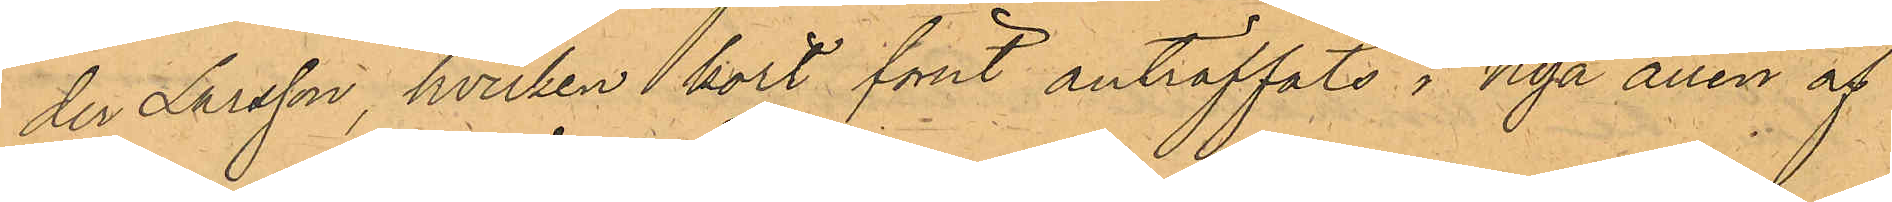der Larsson, hvilken kort förut anträffats i Nya allén af
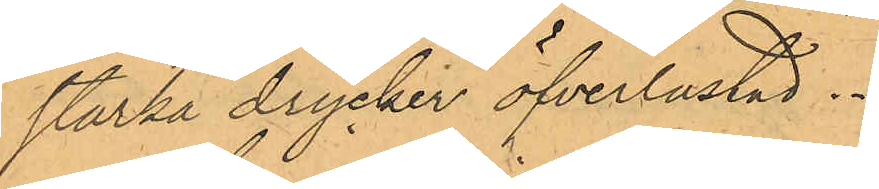starka drycker öfverlastad.
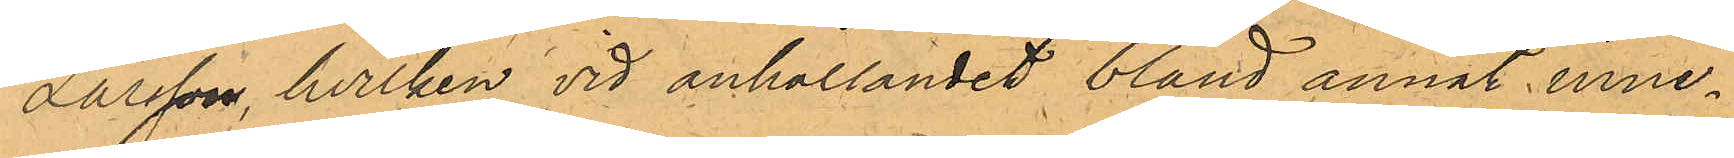Larsson, hvilken vid anhållandet bland annat inne¬
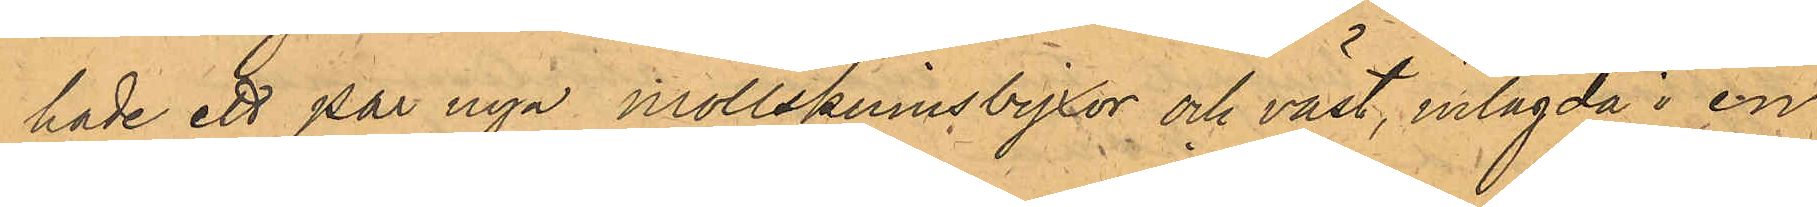hade ett par nya mollskinnsbyxor och väst, inlagda i en
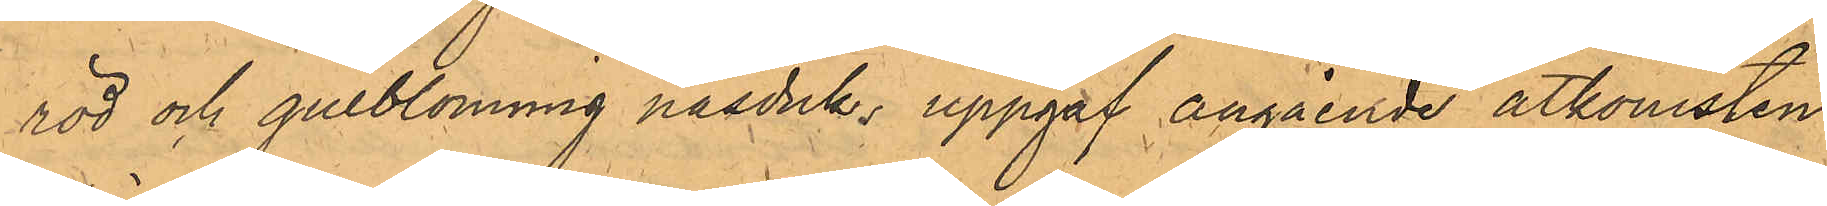röd och gulblommig näsduk, uppgaf angående åtkomsten
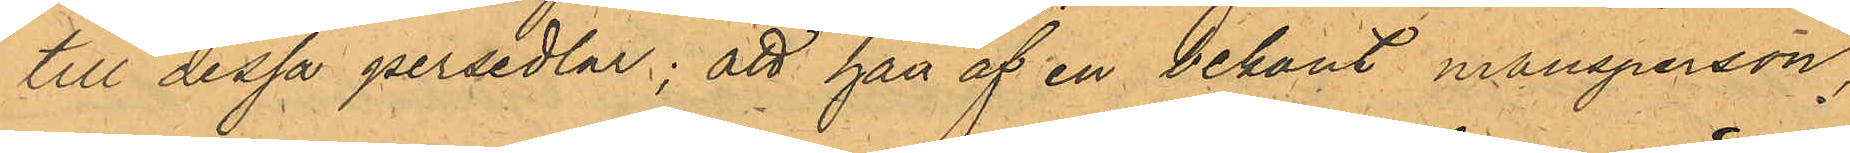till dessa persedlar; att han af en bekant mansperson,
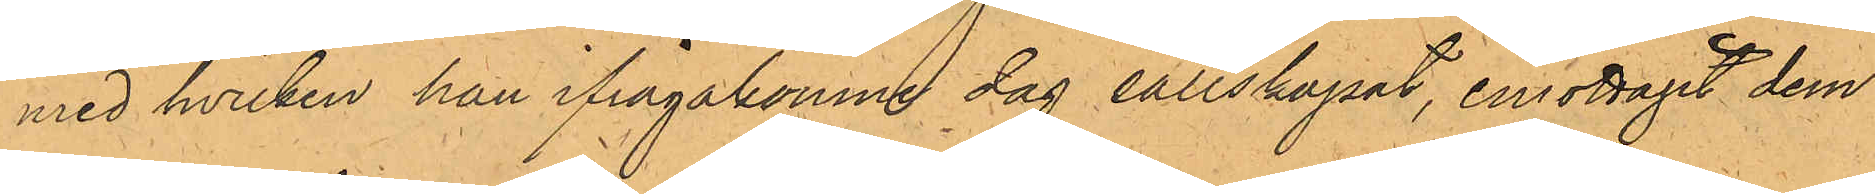med hvilken han ifrågakomne dag sällskapat, emottagit dem
